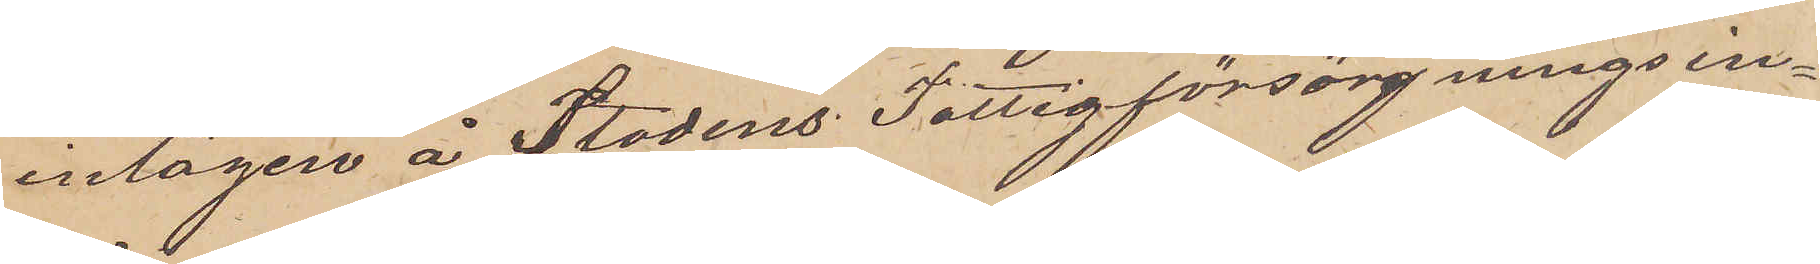intagen å Stadens Fattigförsörjningsin¬
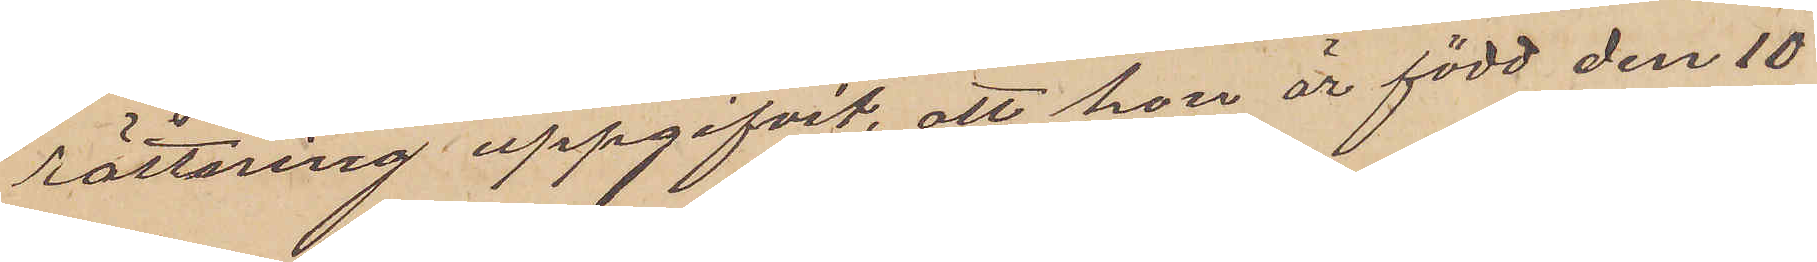rättning uppgifvit, att hon är född den 10
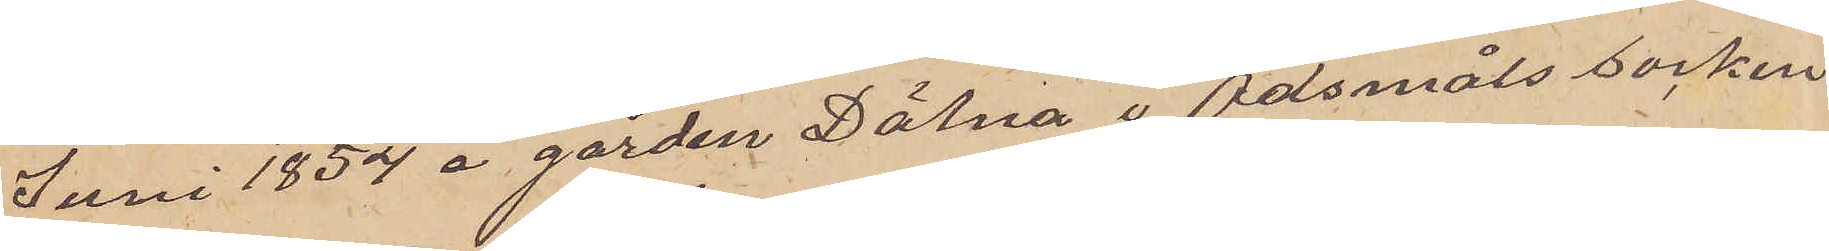Juni 1854 å gården Dälna i Ödsmåls socken
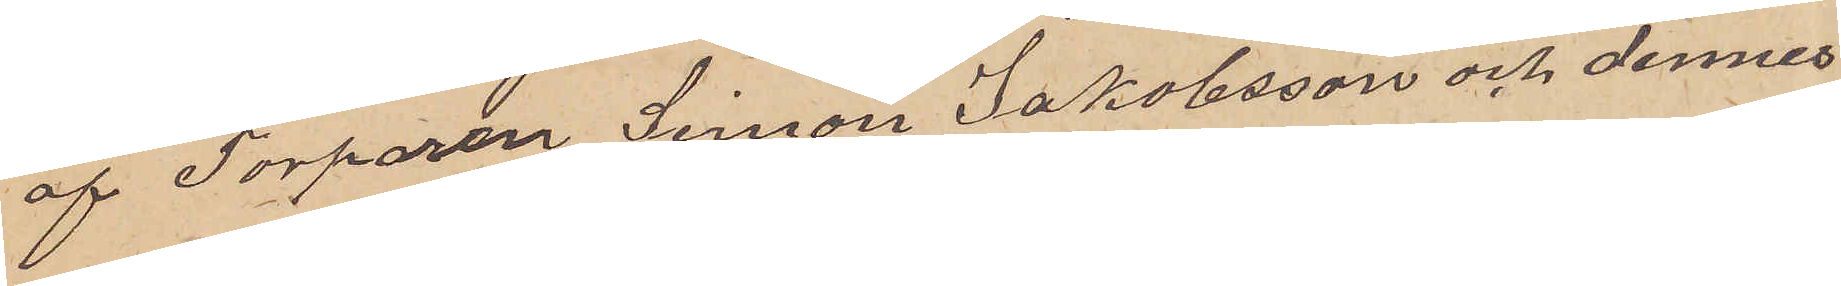af Torparen Simon Jakobsson och dennes
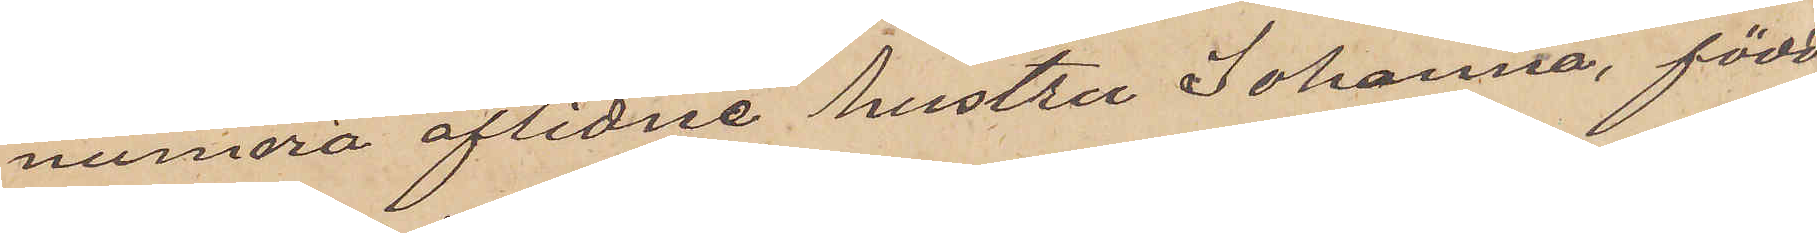numera aflidne hustru Johanna, född
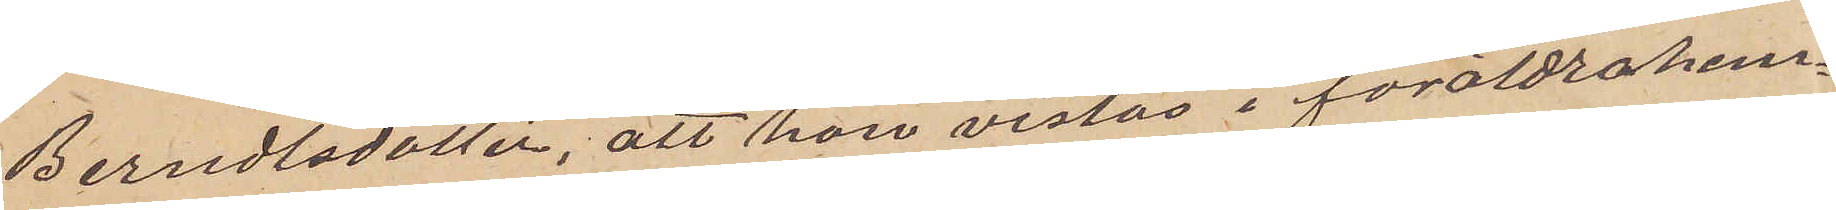Berndtsdotter, att hon vistas i föräldrahem¬
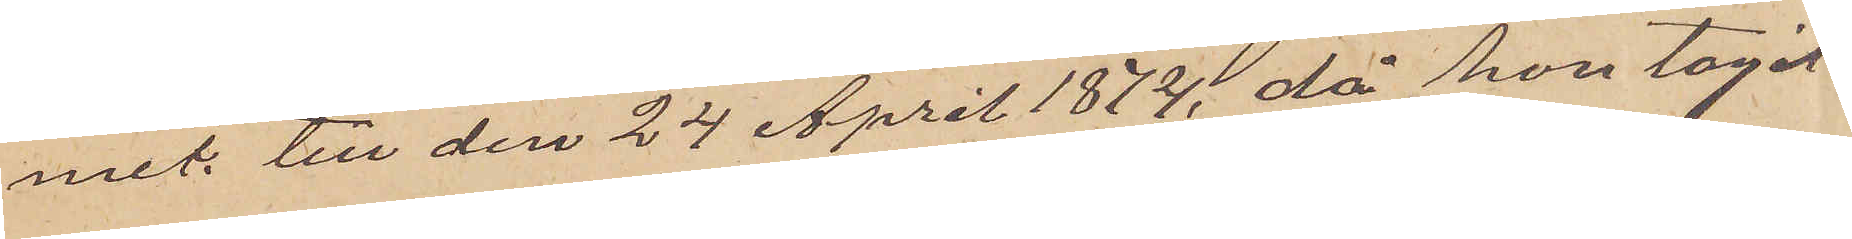mit till den 24 April 1874, då hon tagit
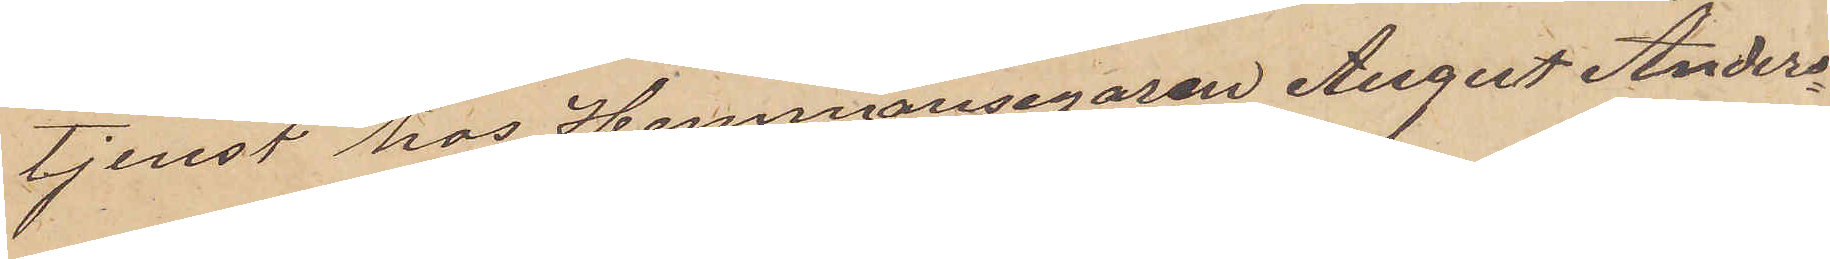tjenst hos Hemmansegaren August Anders¬
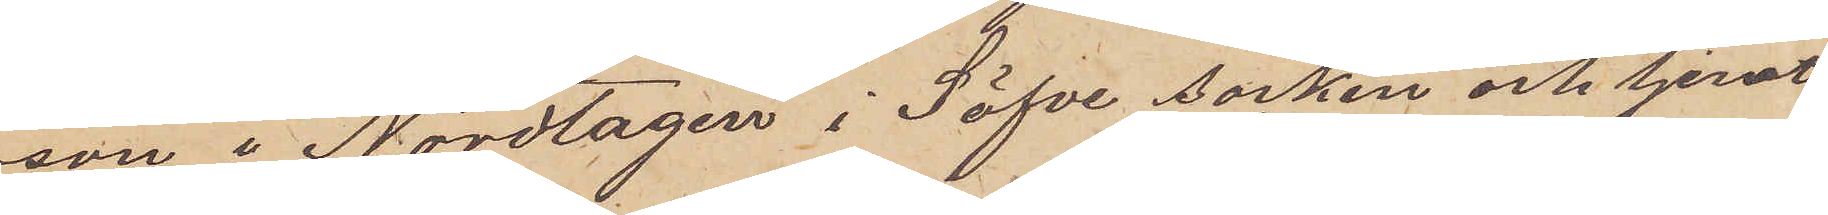son i Nordtagen i Säfve socken och tjenat
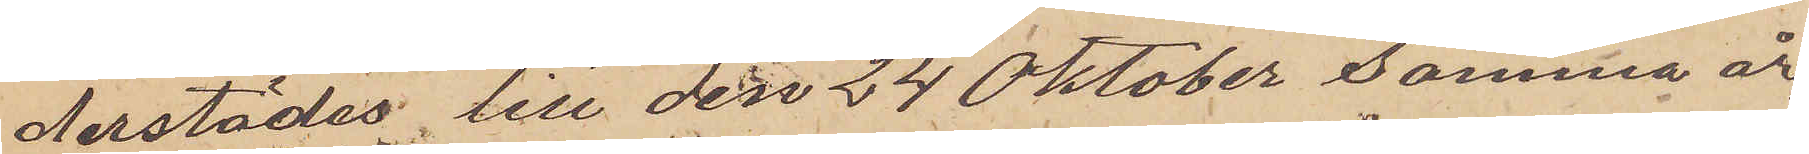derstädes till den 24 Oktober samma år,
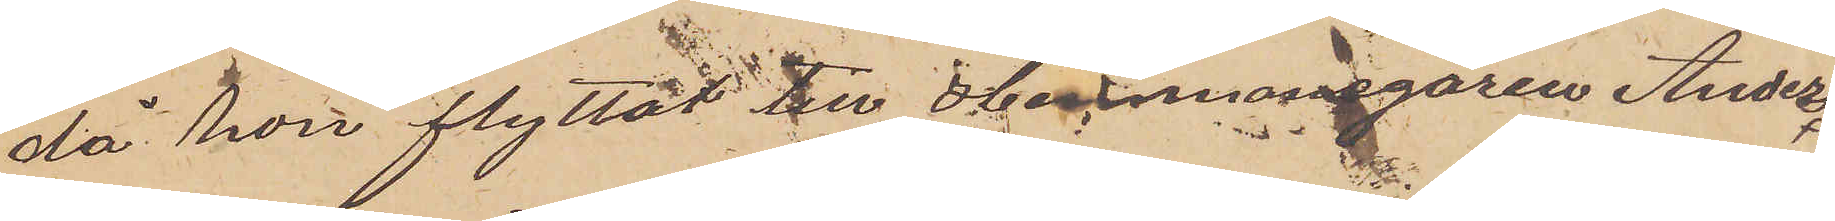då hon flyttat till Hemmansegaren Anders
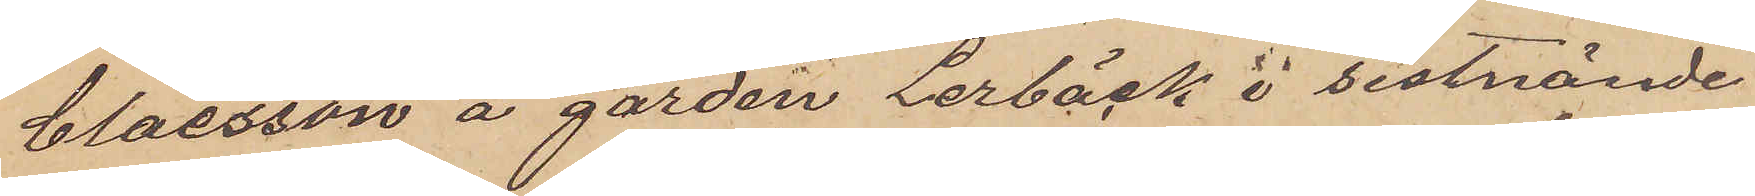Claesson å gården Lerbäck i sistnämde
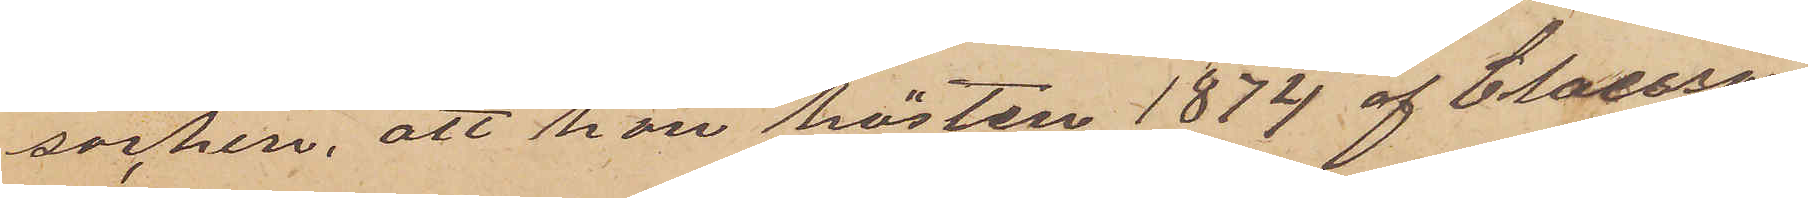socken, att hon hösten 1874 af Claesson
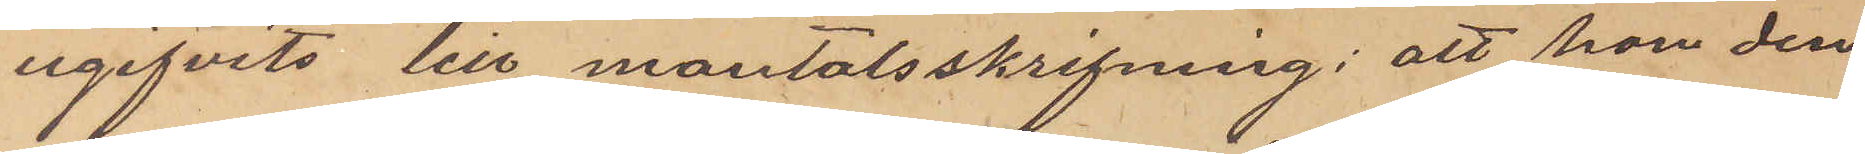ugifvits till mantalsskrifning; att hon den
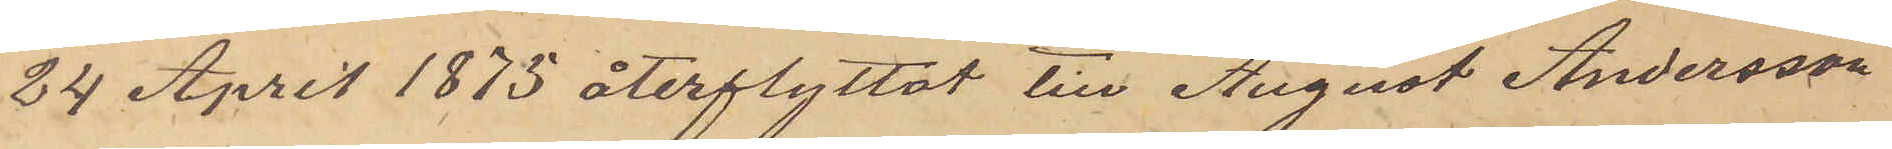24 April 1875 återflyttat till August Andersson
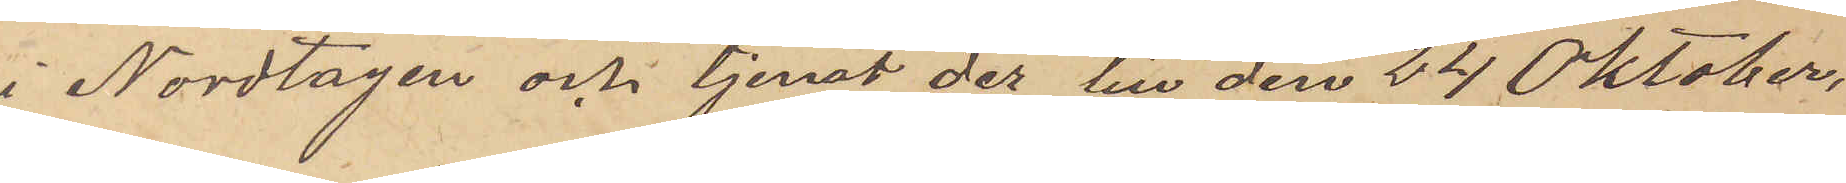i Nordtagen och tjenat der till den 24 Oktober,
